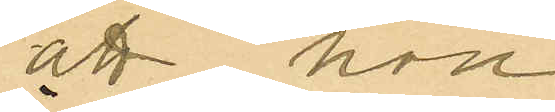att hon
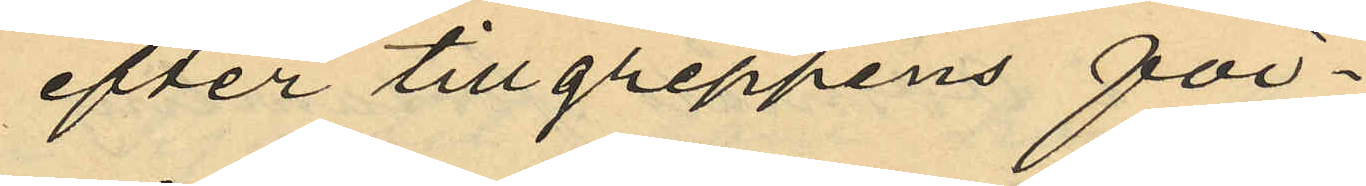efter tillgreppens för¬
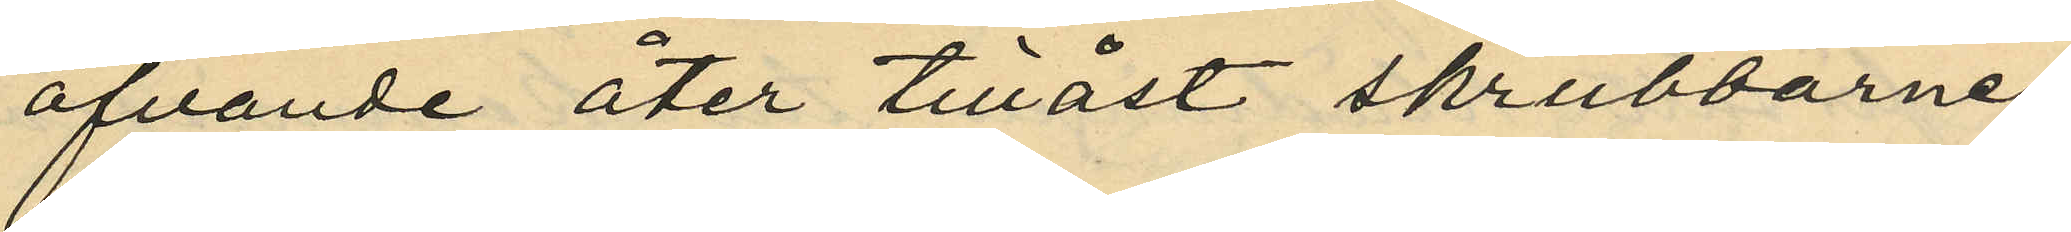öfvande åter tillåst skrubbarne;
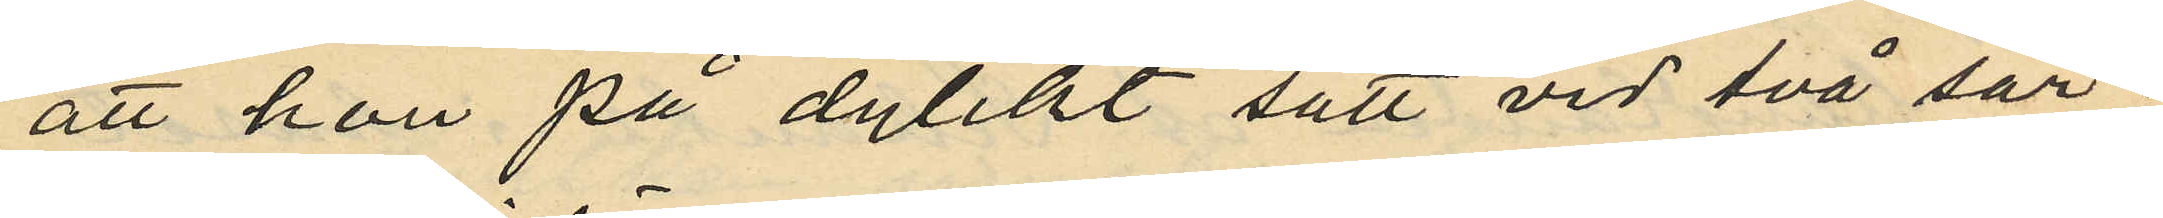att hon på dylikt sätt vid två sär¬
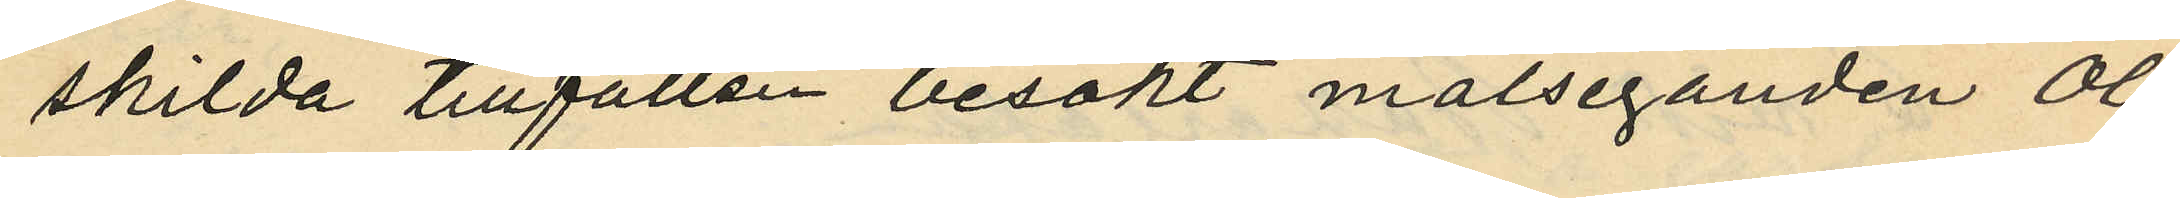skilda tillfällen besökt målseganden Ol¬
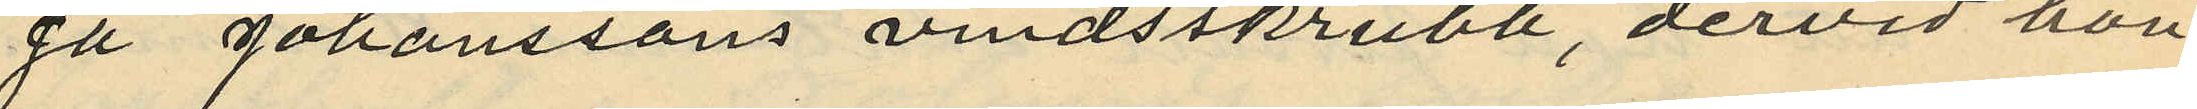ga Johanssons vindsskrubb, dervid hon
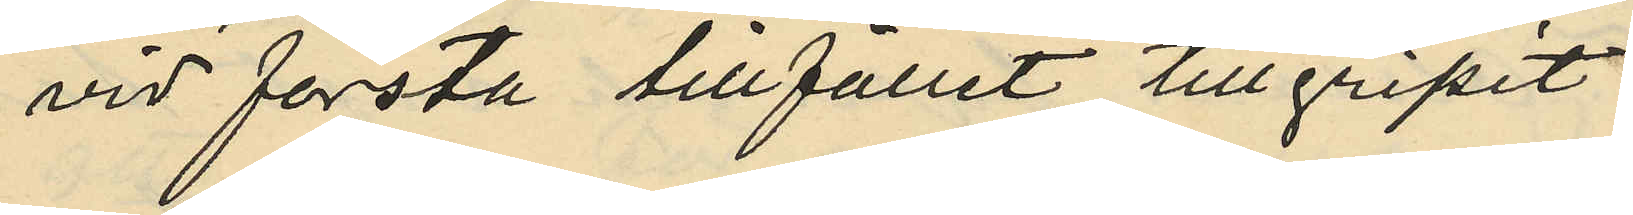vid första tillfället tillgripit
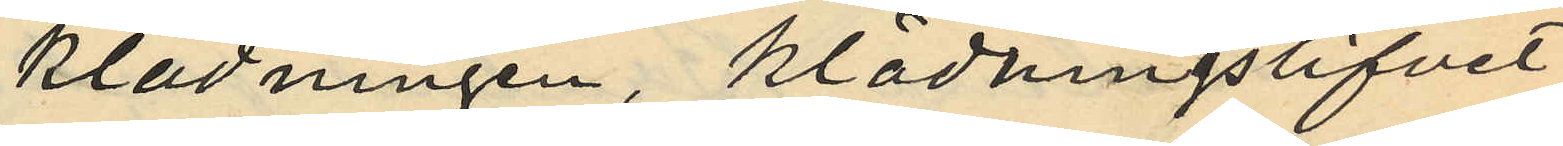klädningen, klädningslifvet
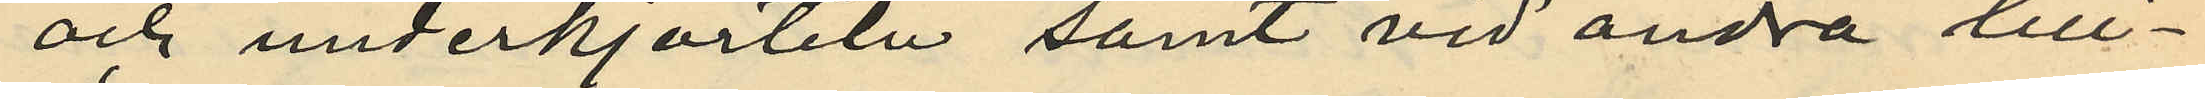och underkjorteln samt vid andra till¬
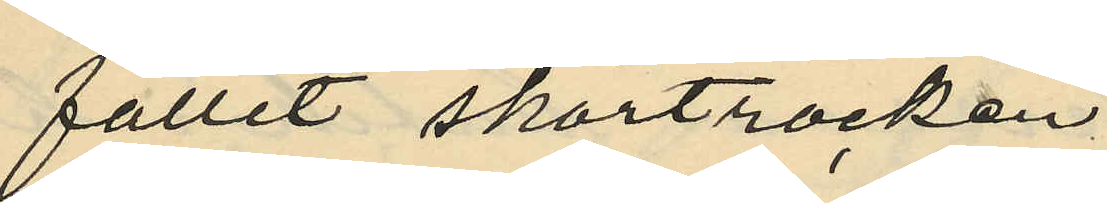fallit skörtrocken;
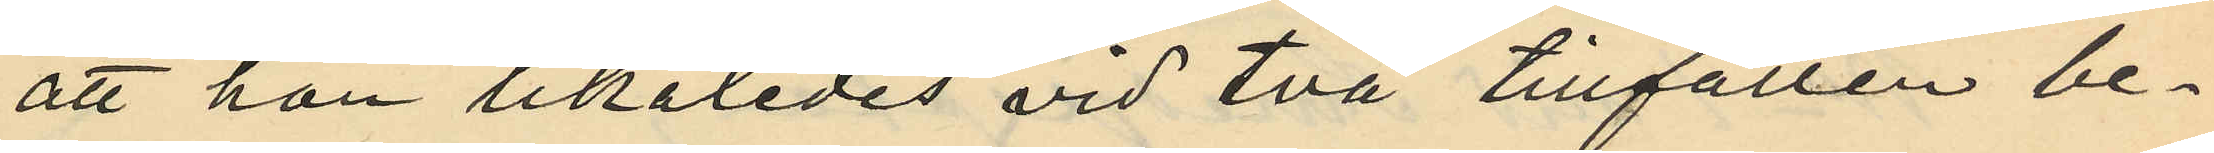att han likaledes vid två tillfällen be¬
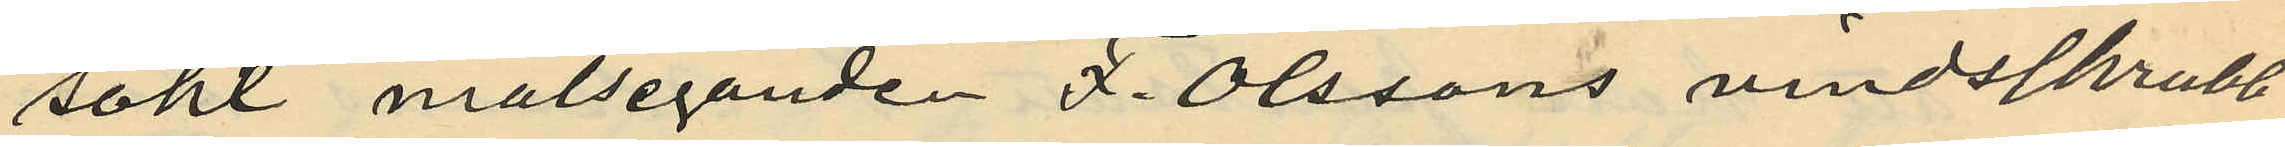sökt målseganden F. Olssons vindsskrubb
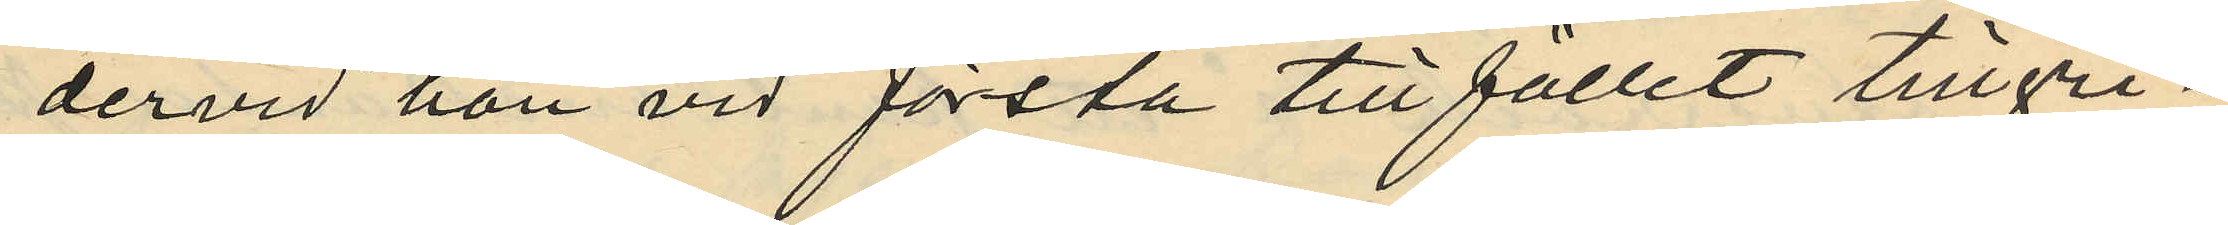dervid han vid första till fallet tillgri¬
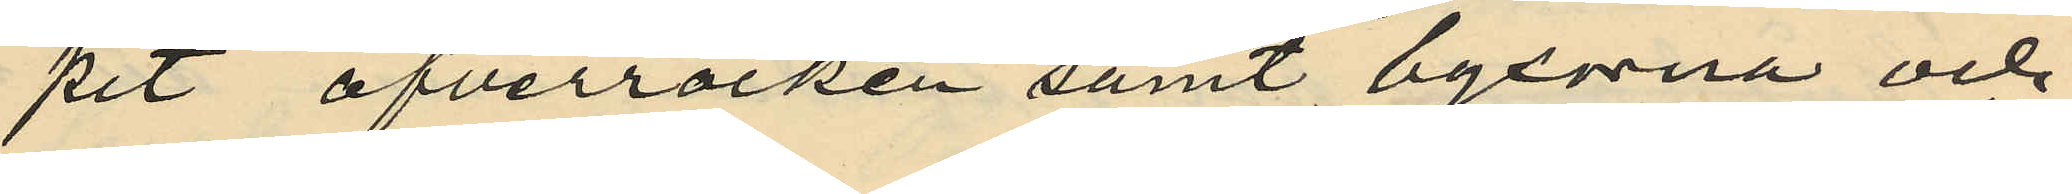pit öfverrocken samt byxorna och
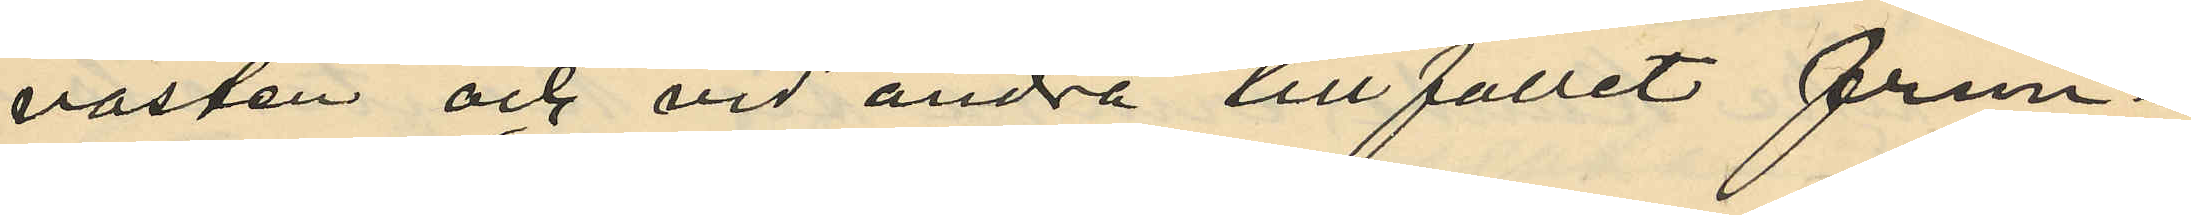västen och vid andra tillfället frun¬
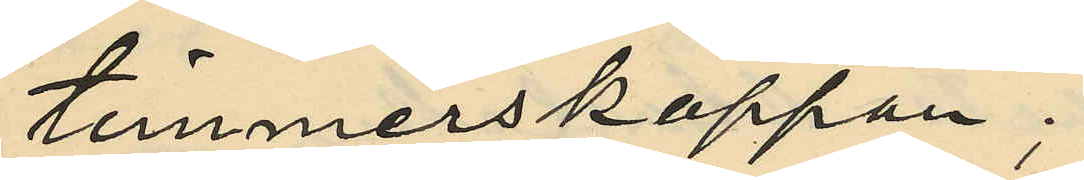timmerskappan;
